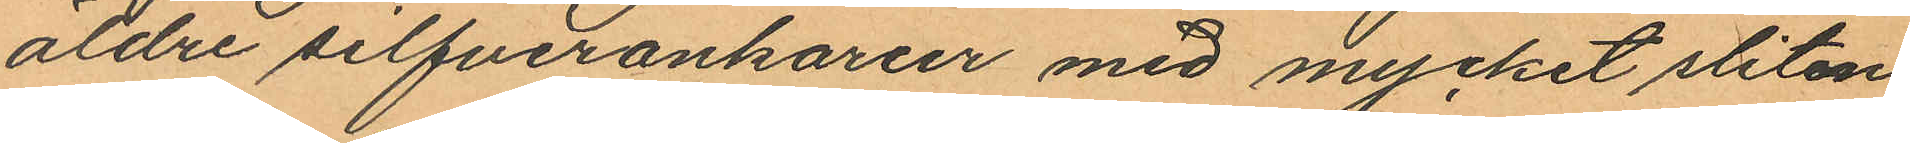äldre silfverankarur med mycket sliten
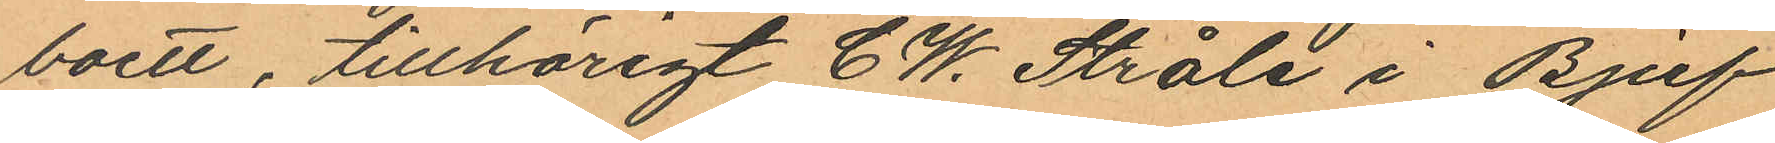boett, tillhörigt C. W. Stråle i Bjuf
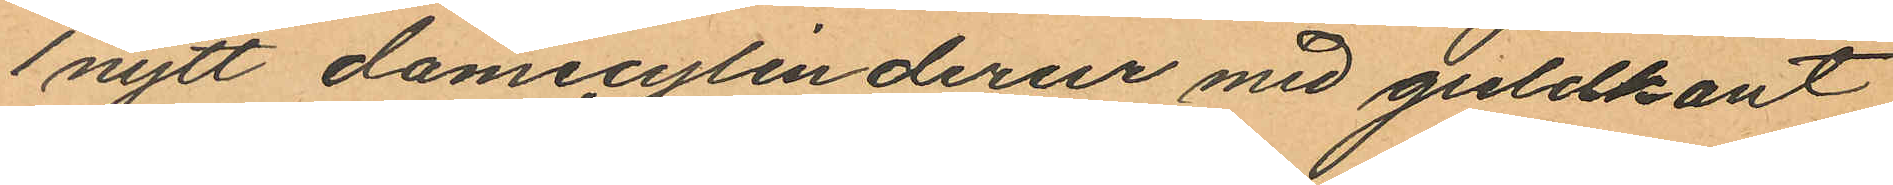1 nytt damecylinderur med guldkant
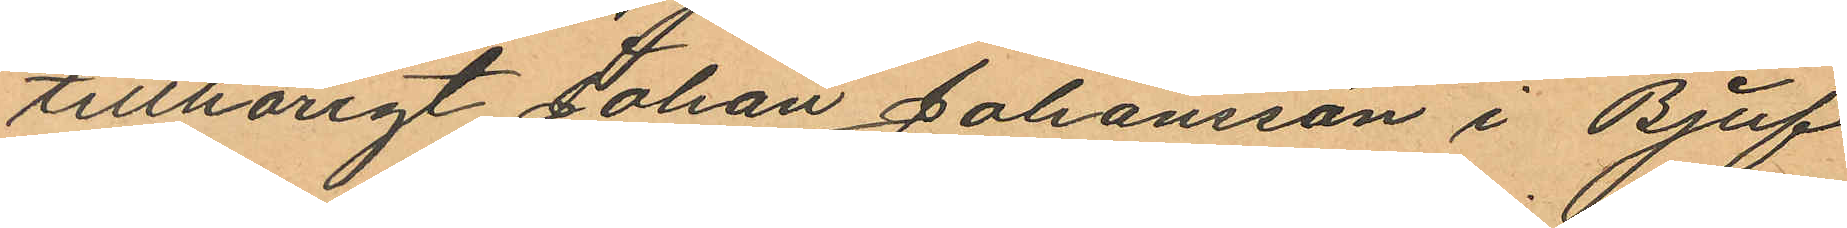tillhörigt Johan Johansson i Bjuf
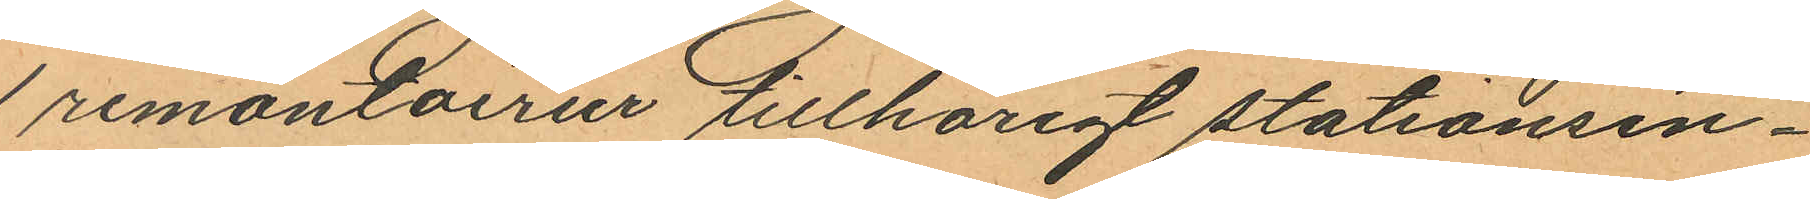1 remontoirur tillhörigt stationsin¬
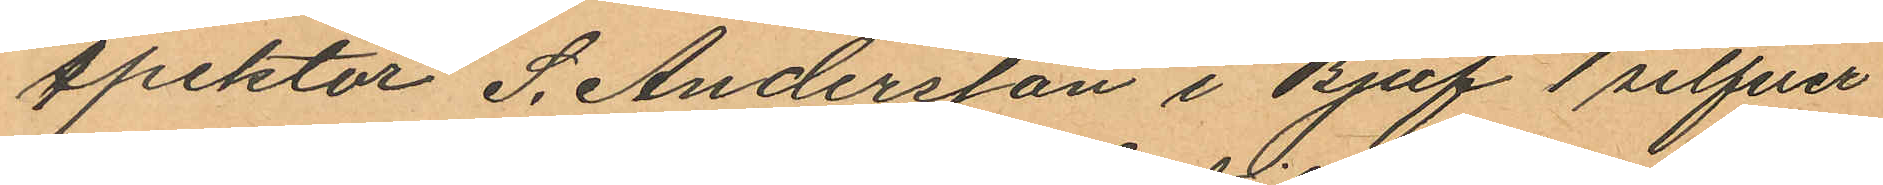spektor S. Andersson i Bjuf 1 silfver
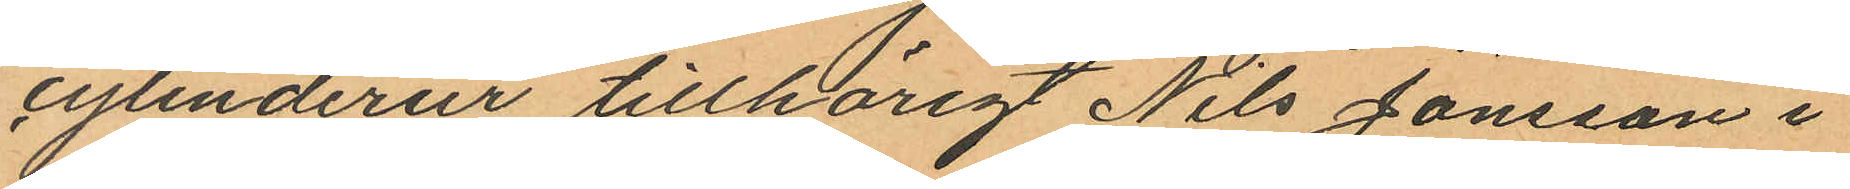cylinderur tillhörigt Nils Jönsson i
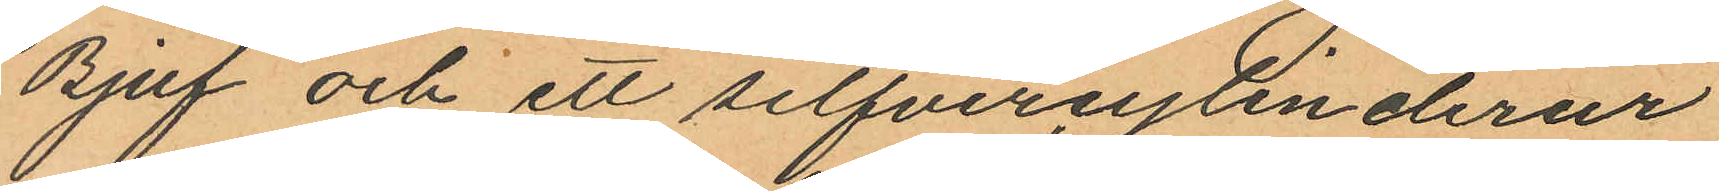Bjuf och ett silfvercylinderur
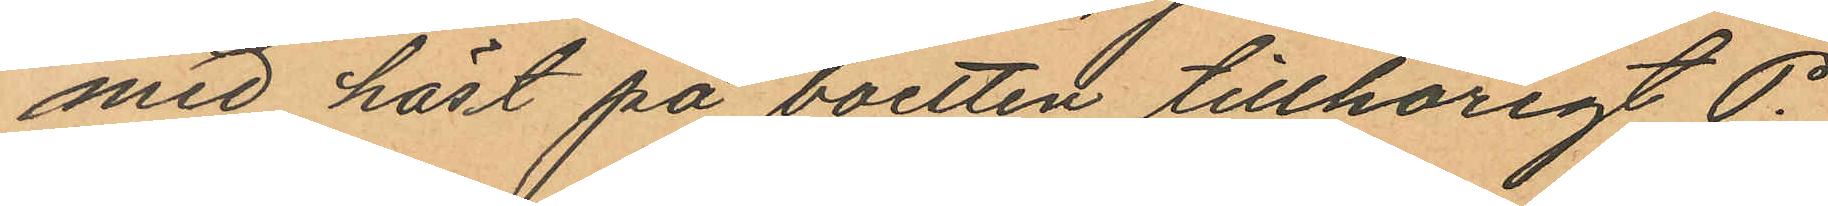med häst på boetten tillhörigt P.
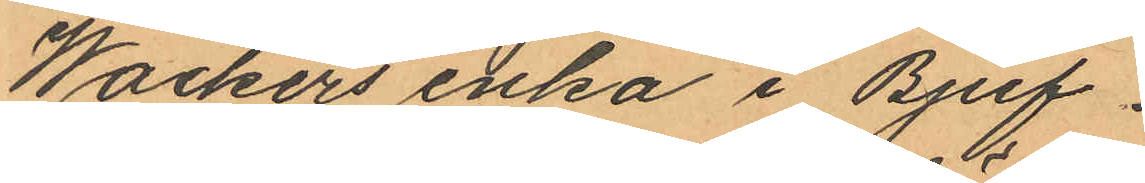Wackers enka i Bjuf.
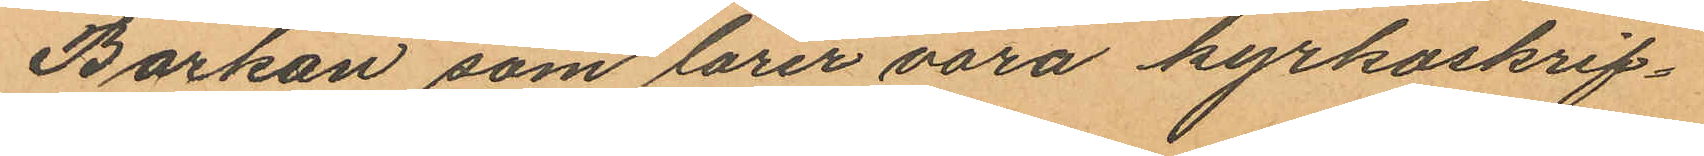Barkan som lärer vara kyrkoskrif¬
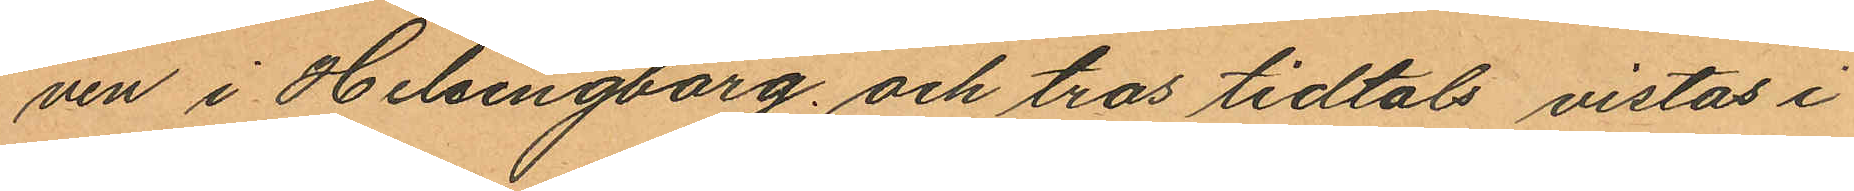ven i Helsingborg och tros tidtals vistas i
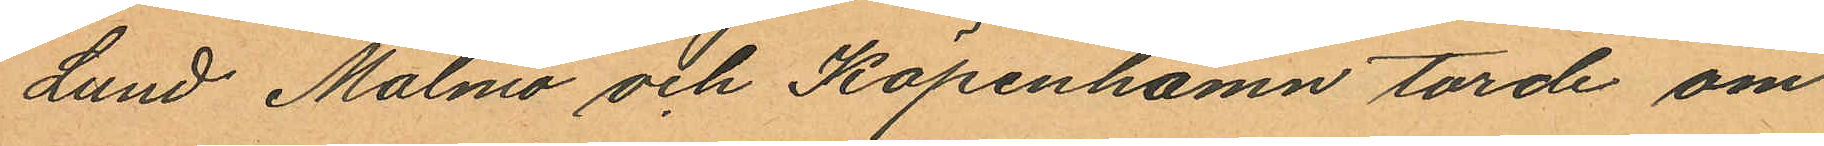Lund Malmö och Köpenhamn torde om
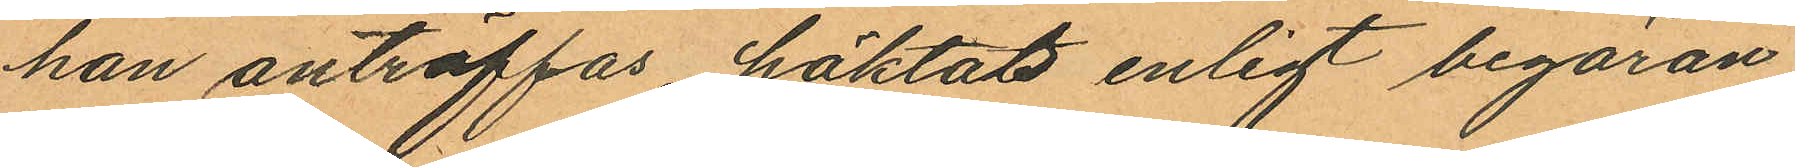han anträffas häktas enligt begäran
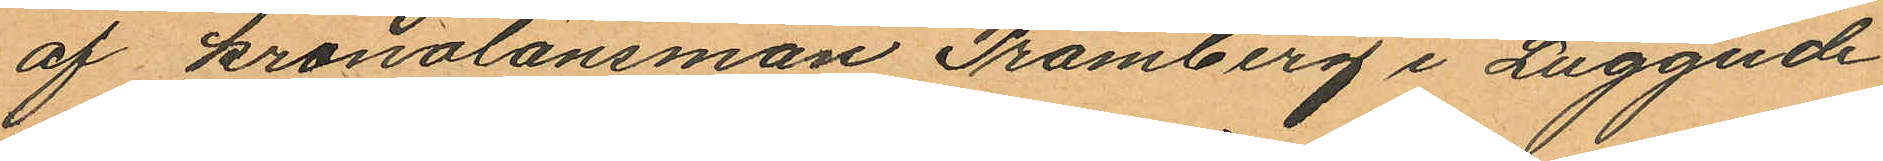af kronolänsman Pramberg i Luggude
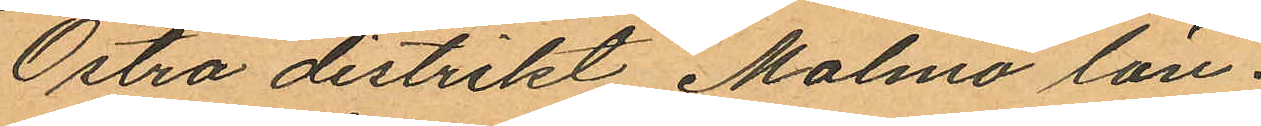Östra distrikt Malmö län.
